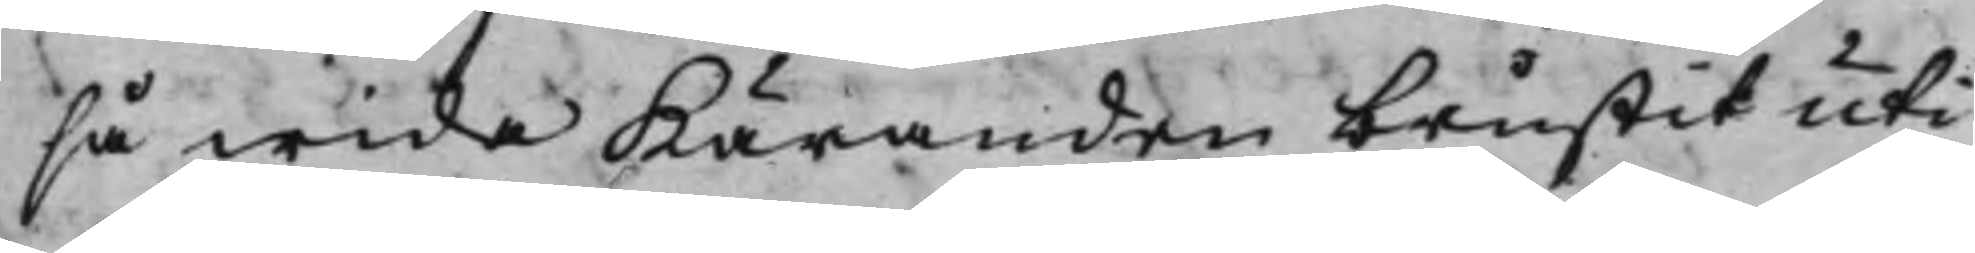så wida Käranden brustit uti
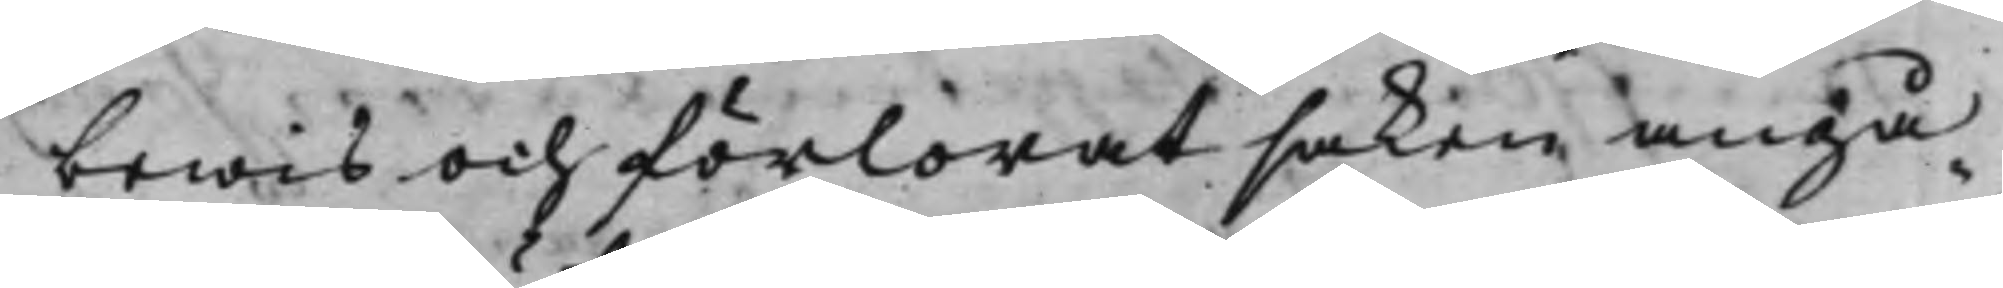bewis och förlorat saken angå¬
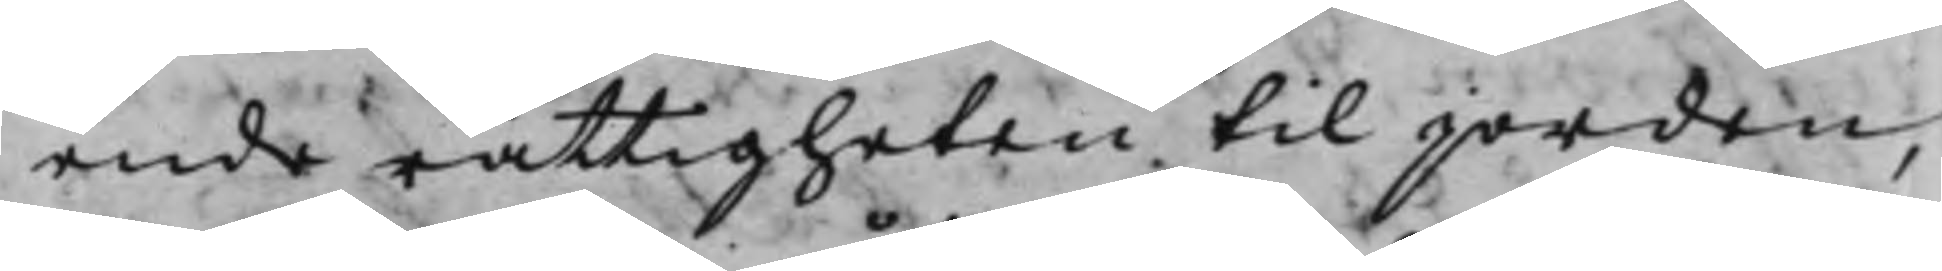ende rättigheten til jorden,
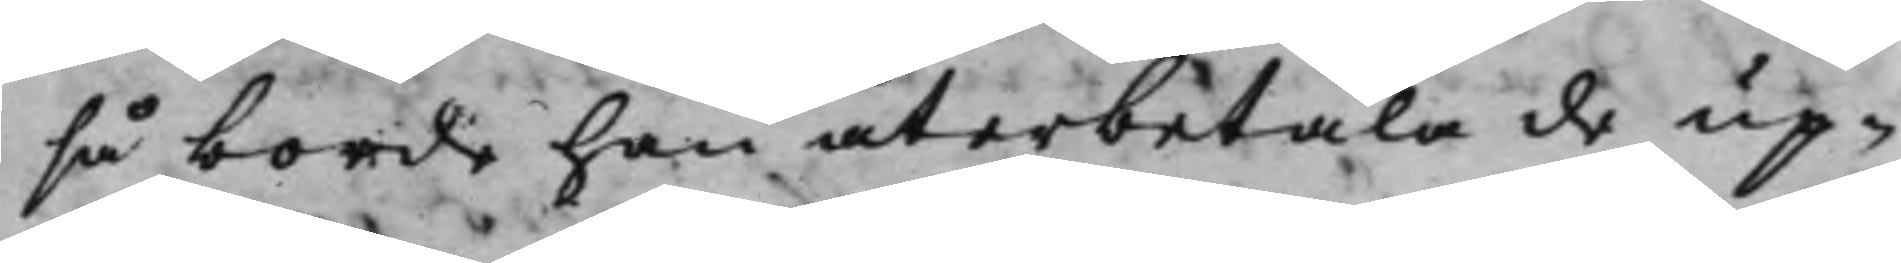så borde han återbetala de up¬
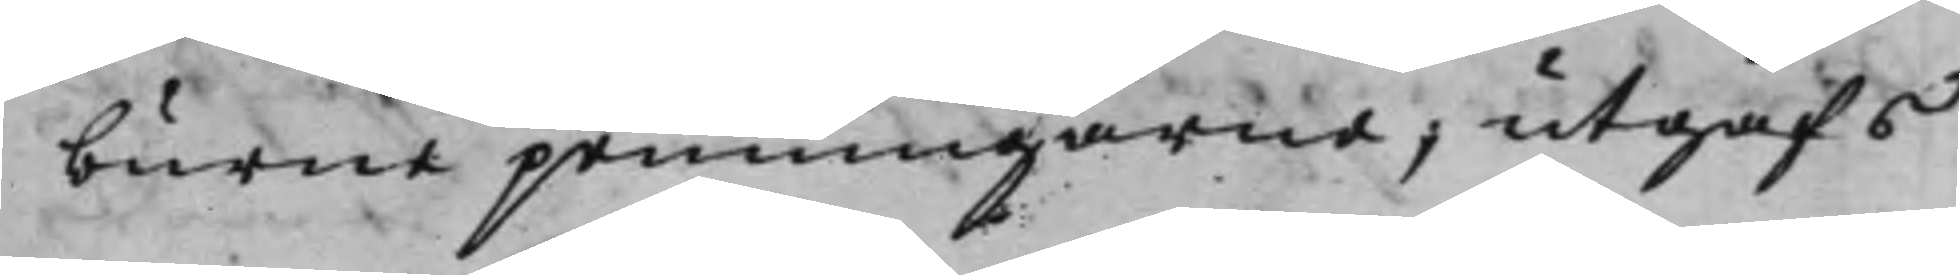burne penningarne; utgafs
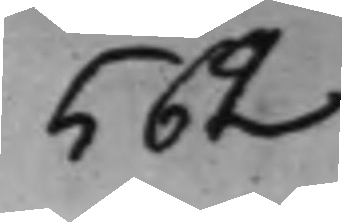562
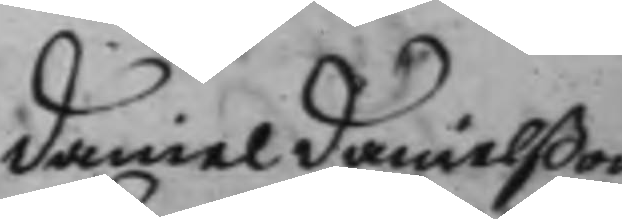Daniel Danielßon
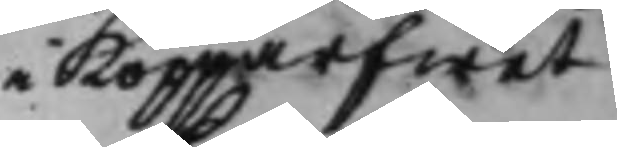i Kopparfwet
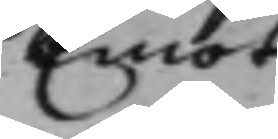Emot
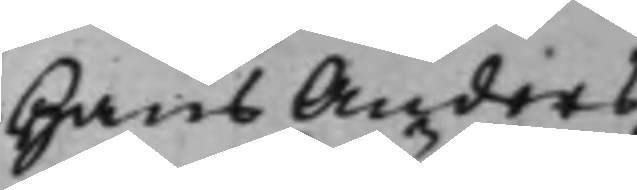Hans Anders¬
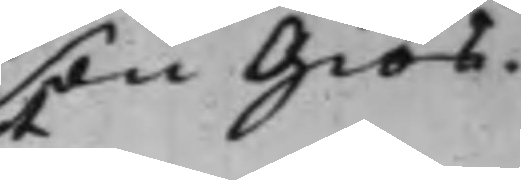son Giös.
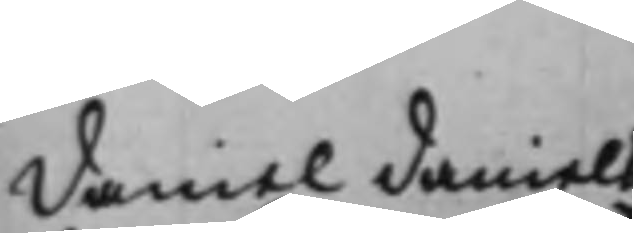Daniel Daniels¬
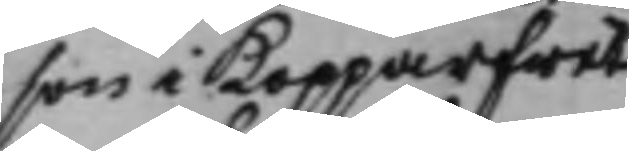son i Kopparfwet
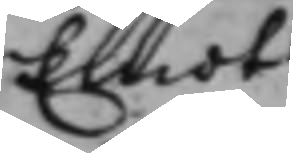Emot
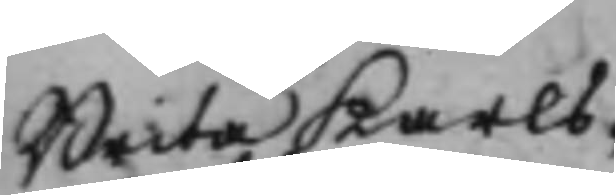Brita Karls¬
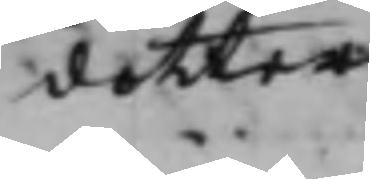dotter.
